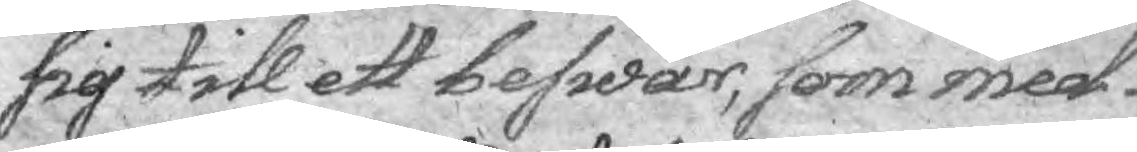sig till ett beswär, som med
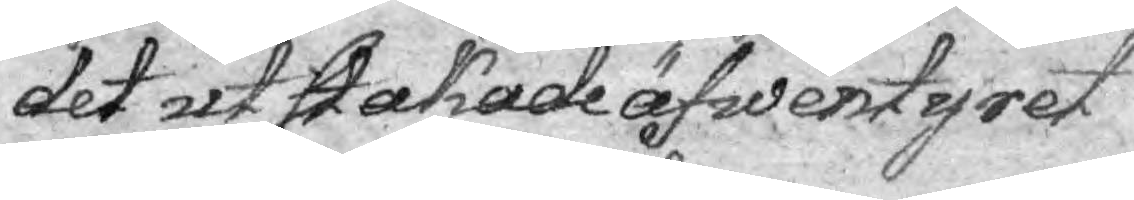det utstakade äfwentyret
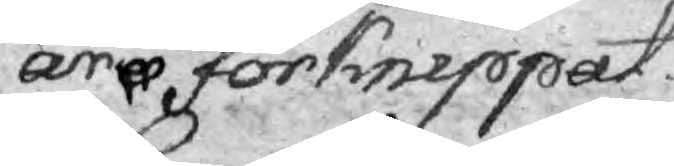äro förknippat.
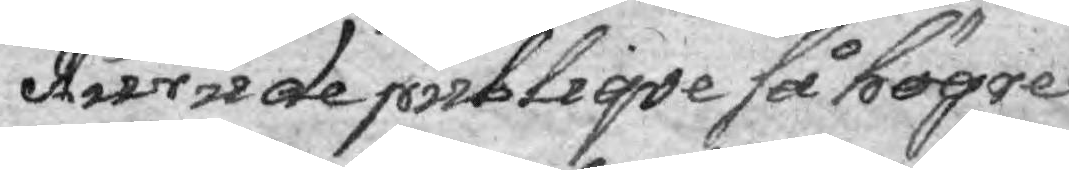Huru de publiqve så högre 
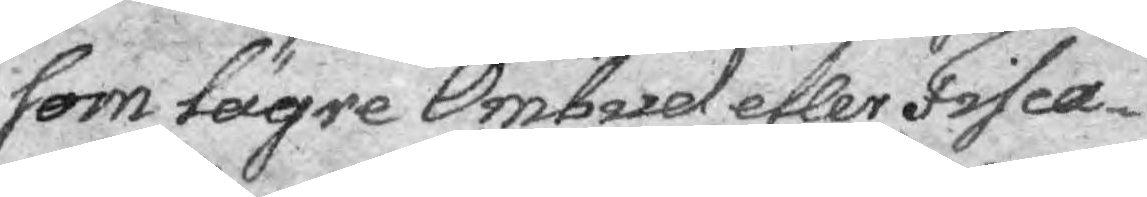som lägre Ombud eller Fisca¬
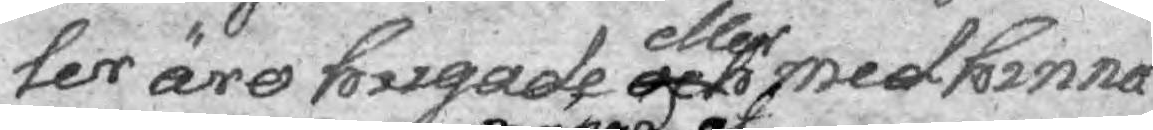lter äro hugade gen eller medhinna 
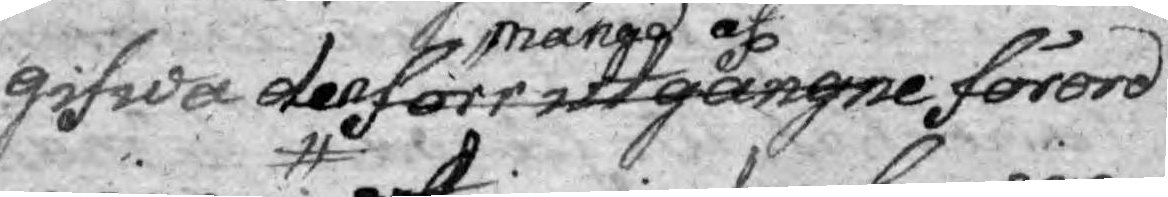gifwa den förr utgångne mängd af förord¬ 
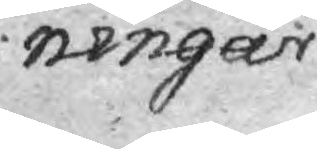ningar
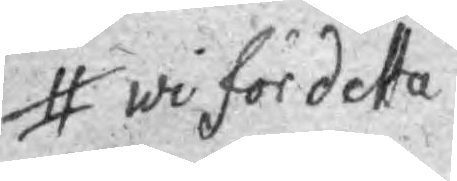wi för detta
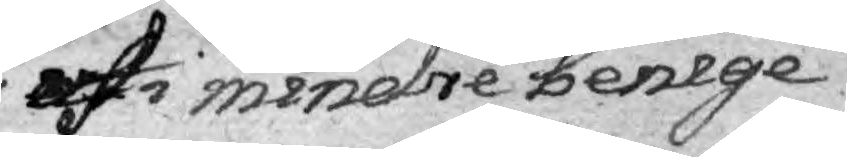af i mendre benige
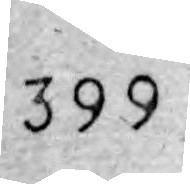399
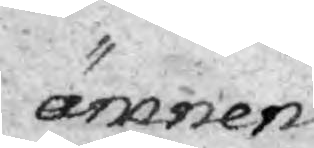ämnen
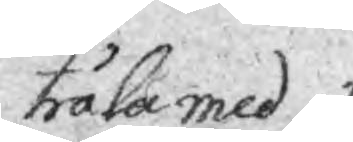tråla med
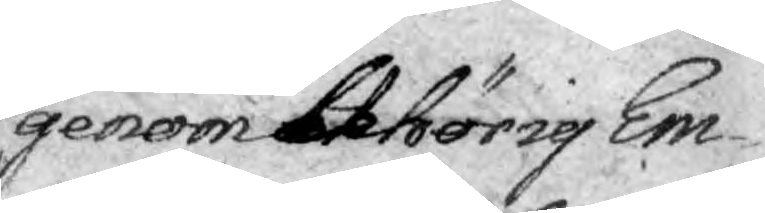genom behörig Em¬
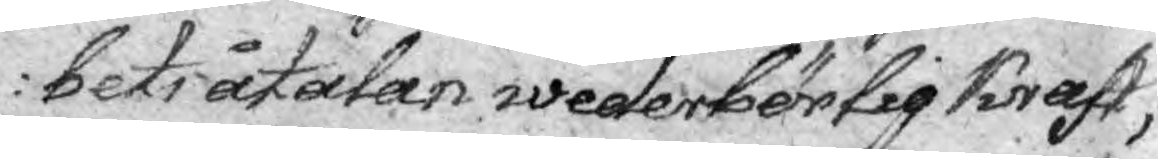bets åtalan wederbörlig kraft,
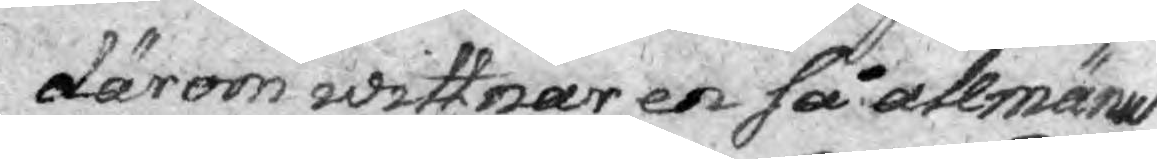därom wittnar en så allmänd
